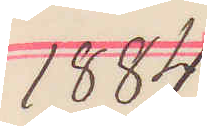1884
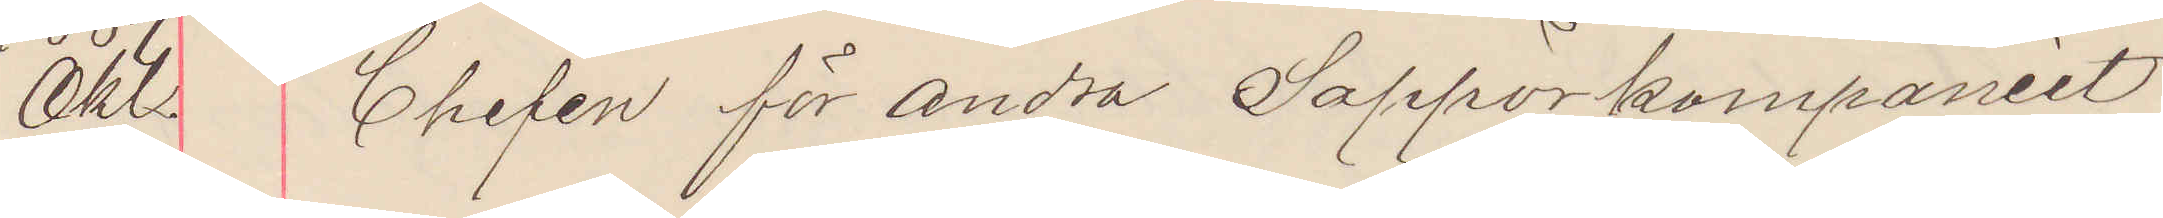Okt. Chefen för andra Sappörkompaniet
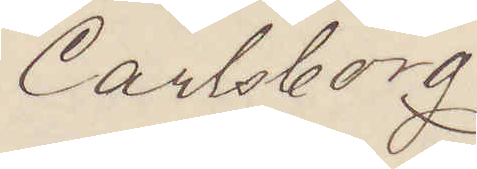Carlsborg
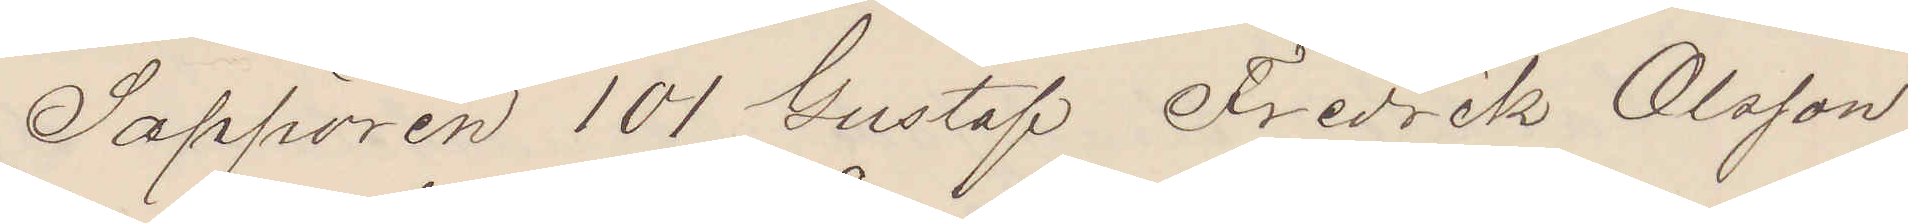Sappören 101 Gustaf Fredrik Olsson
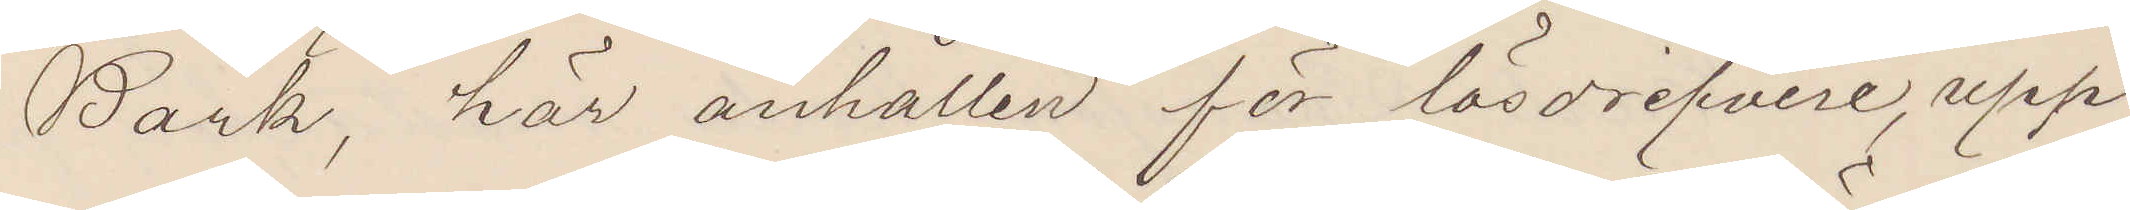Bark, här anhållen för lösdrifveri, upp¬
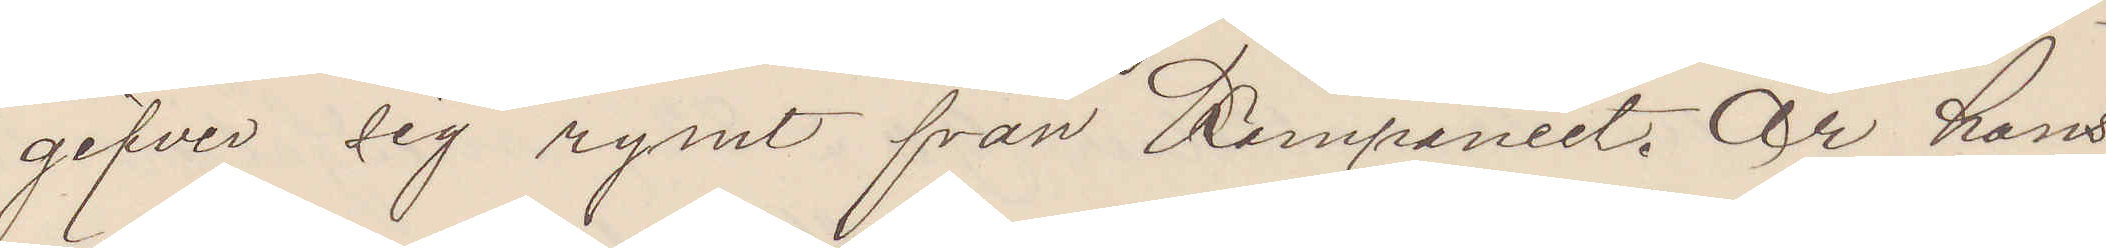gifver sig ha rymt från Kompaniet. Är hans
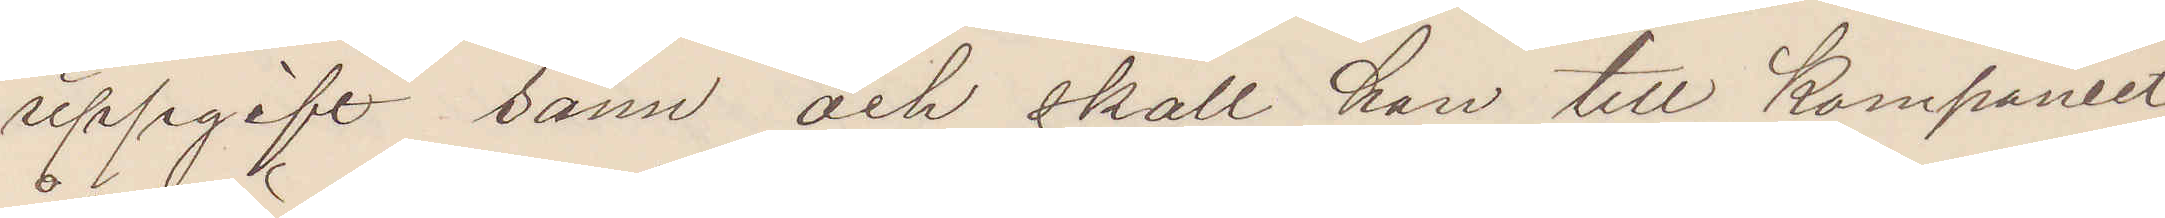uppgift sann och skall han till Kompaniet
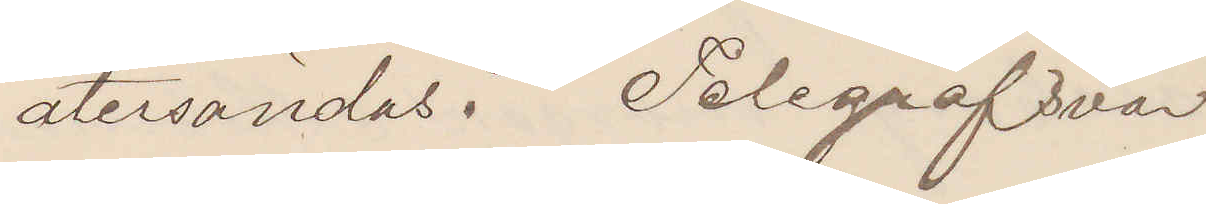återsändas? Telegrafsvar
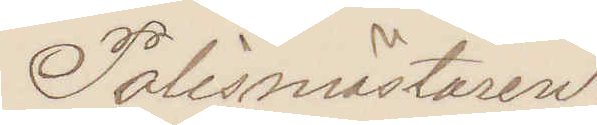Polismästaren.
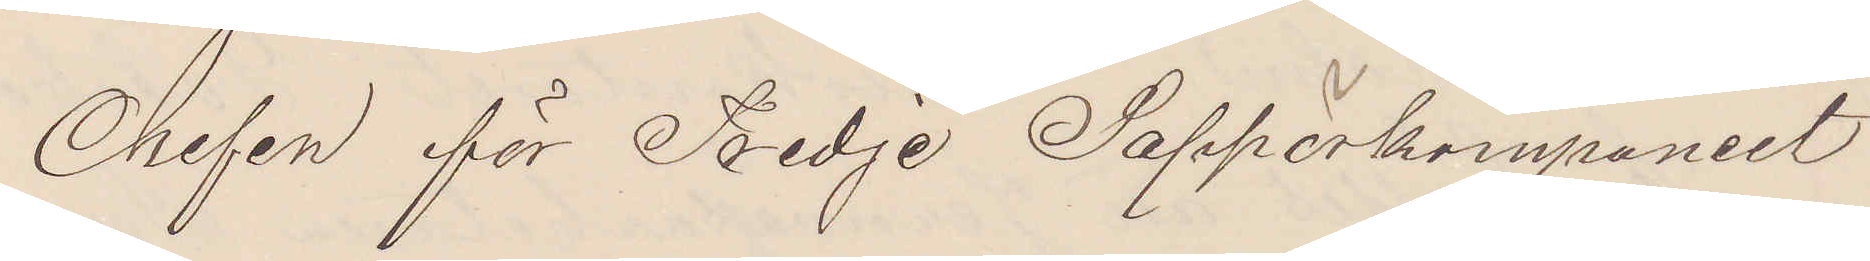Chefen för Tredje Sappörkompaniet
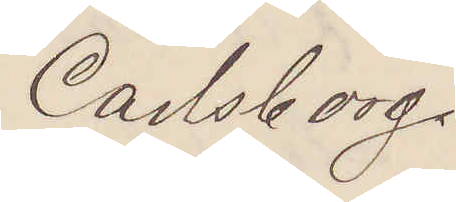Carlsborg.
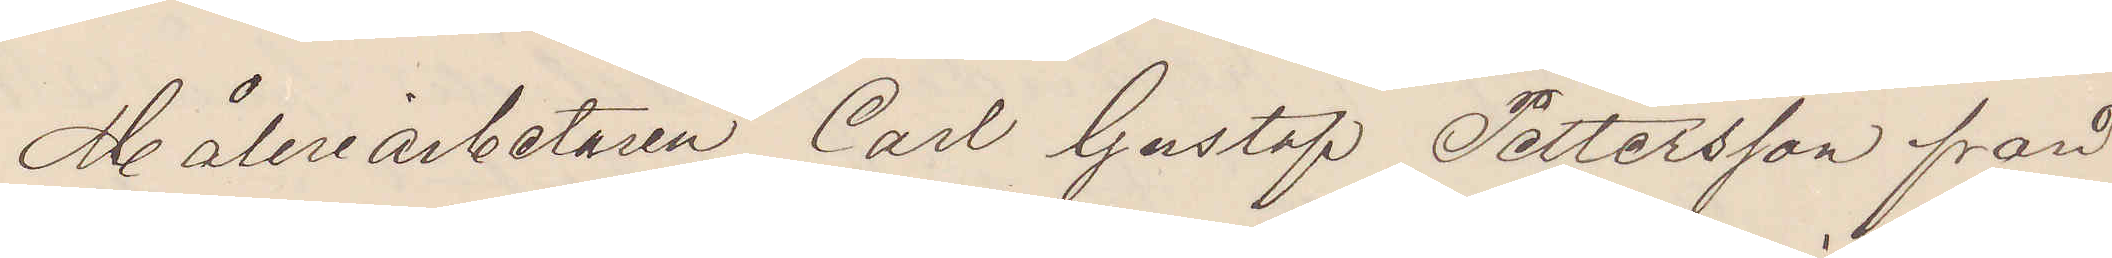Måleriarbetaren Carl Gustaf Pettersson från
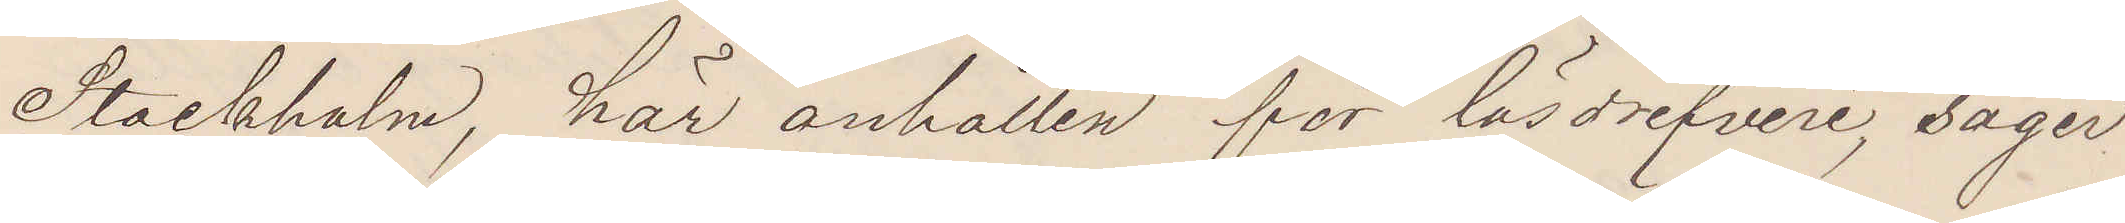Stockholm, här anhållen för lösdrifveri, säger
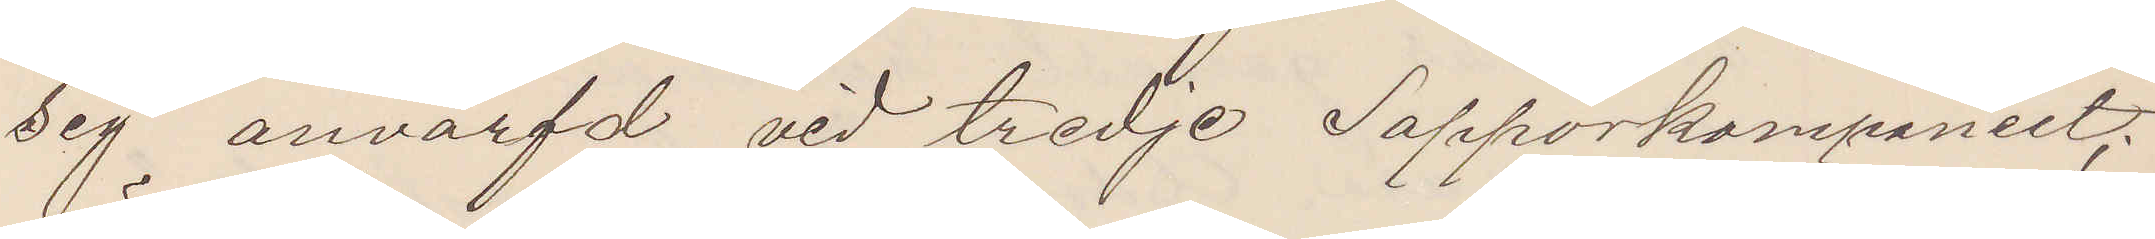sig anvärfd vid tredje Sapporkompaniet;
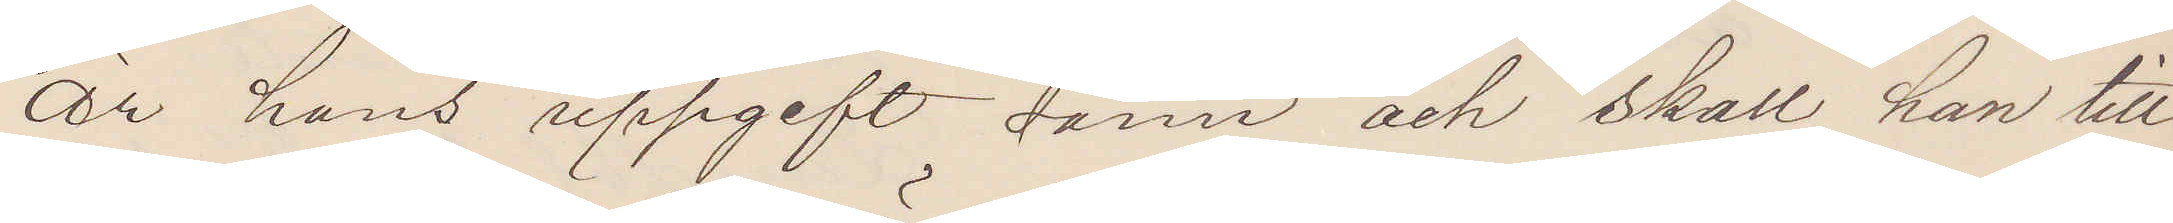är hans uppgift sann och skall han till
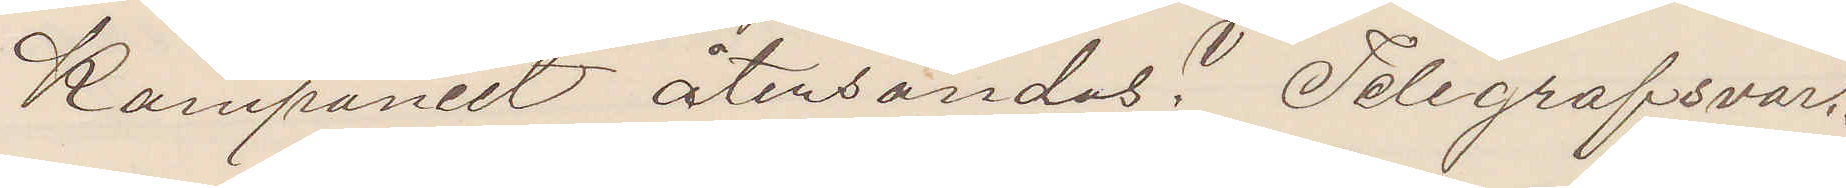Kompaniet återsändas? Telegrafsvar.
